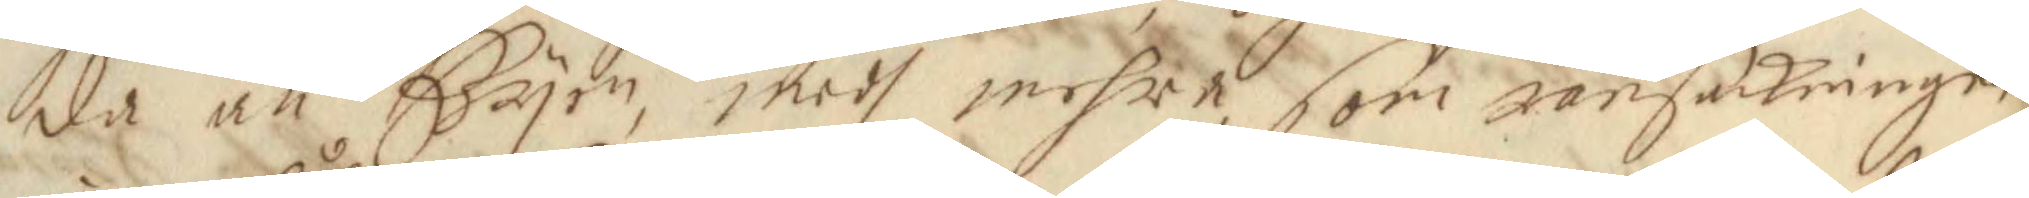da an Byen, medh mehra, som ransakningen
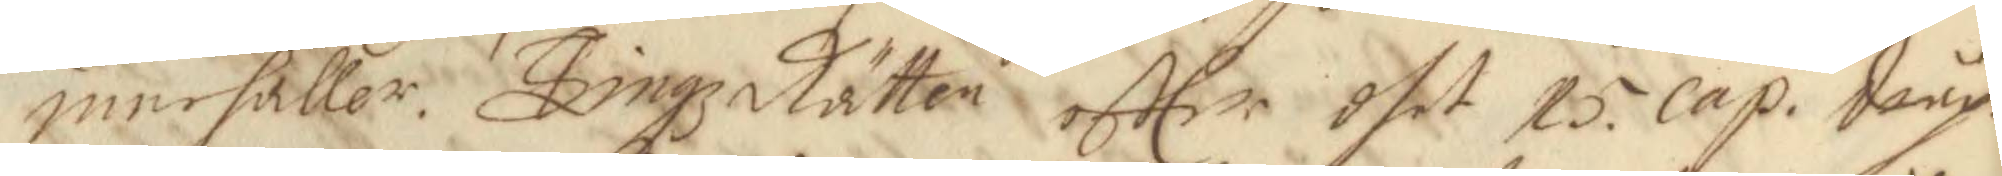innehåller: Tingz Rätten effter dhet 15. Cap. Dråpe 
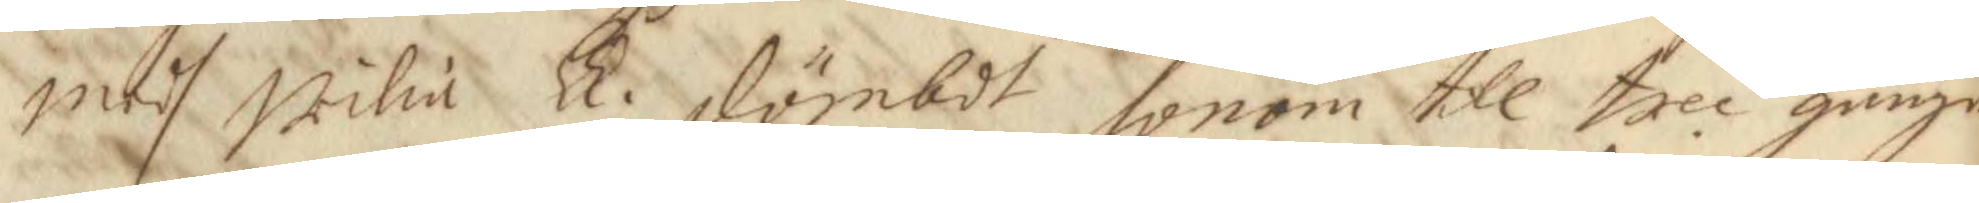medh Wilia LL. dömbdt honom till tree gånger 
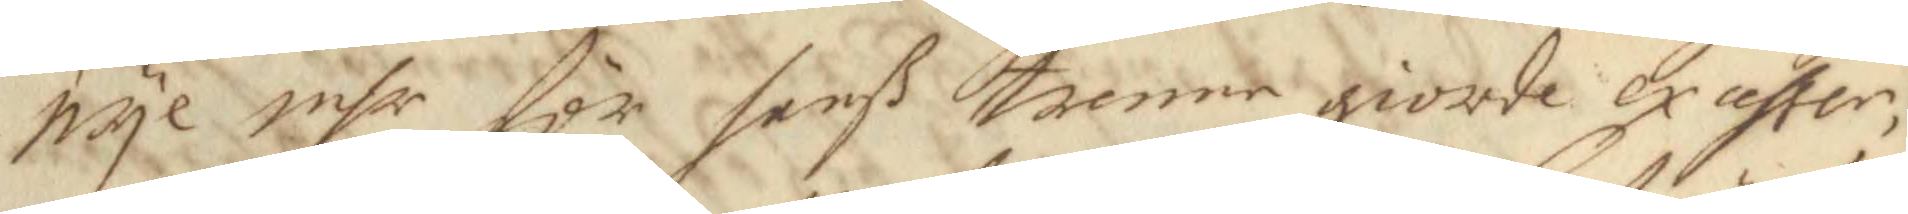nyl inhr för hanß trenne giorde exahter,
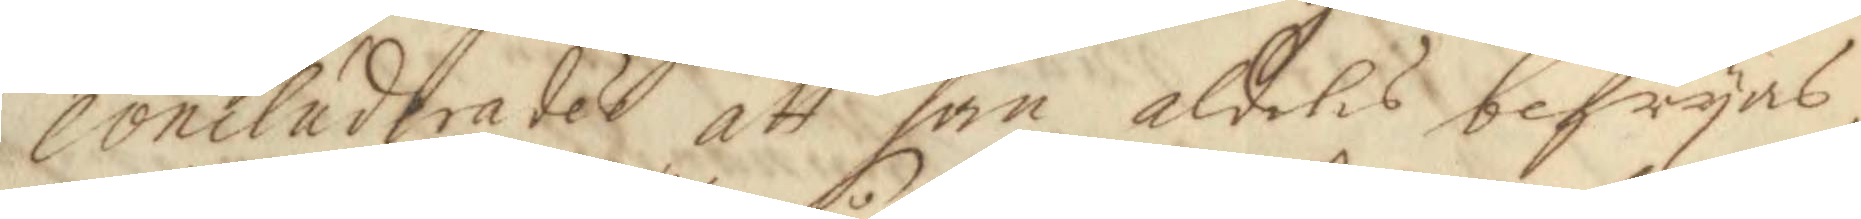concluderades att han aldelis befryas,
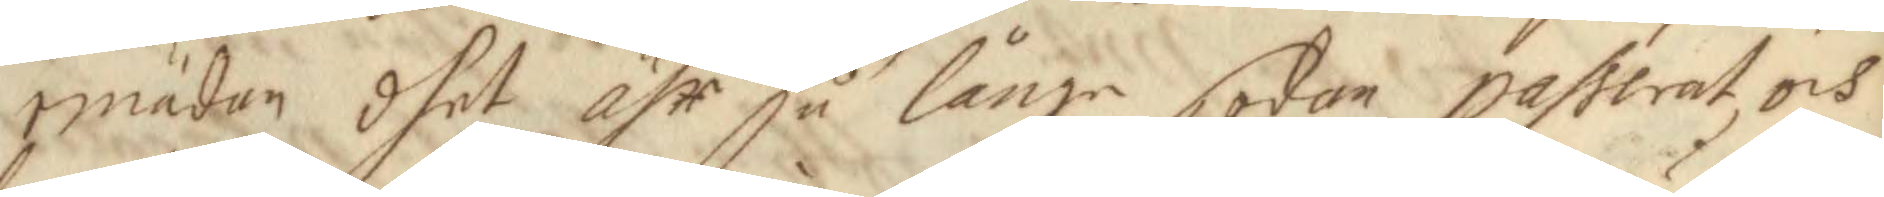emädan dhet ähr så långe sodan passerat, och
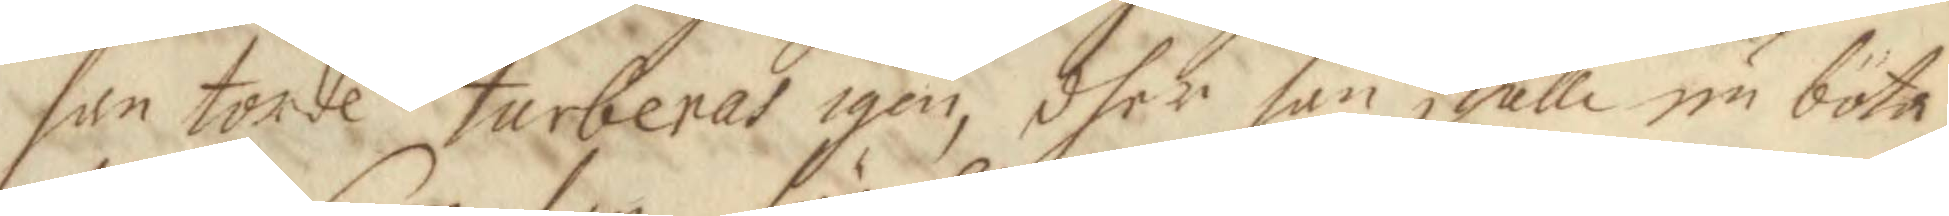han torde turberas igen, dher han skulle nu böta
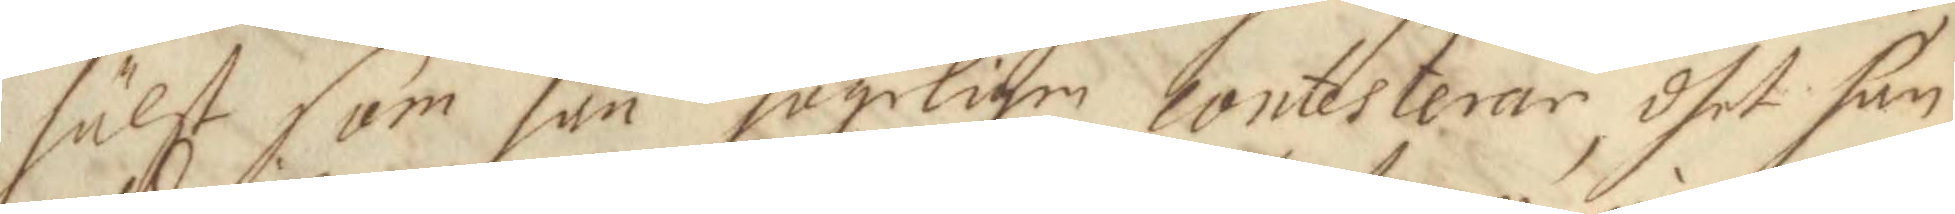hälst som han högeligen contesterar, dhet han
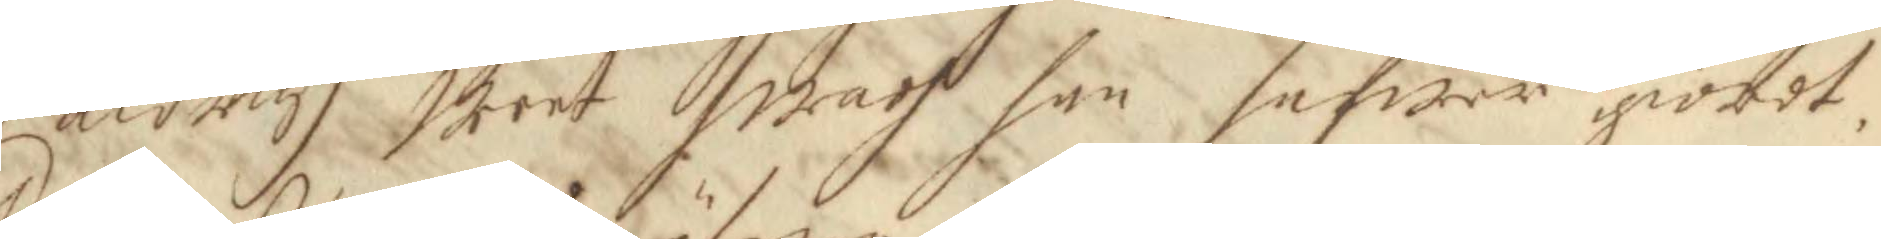aldrig weet hwadh han hafwer giordt.
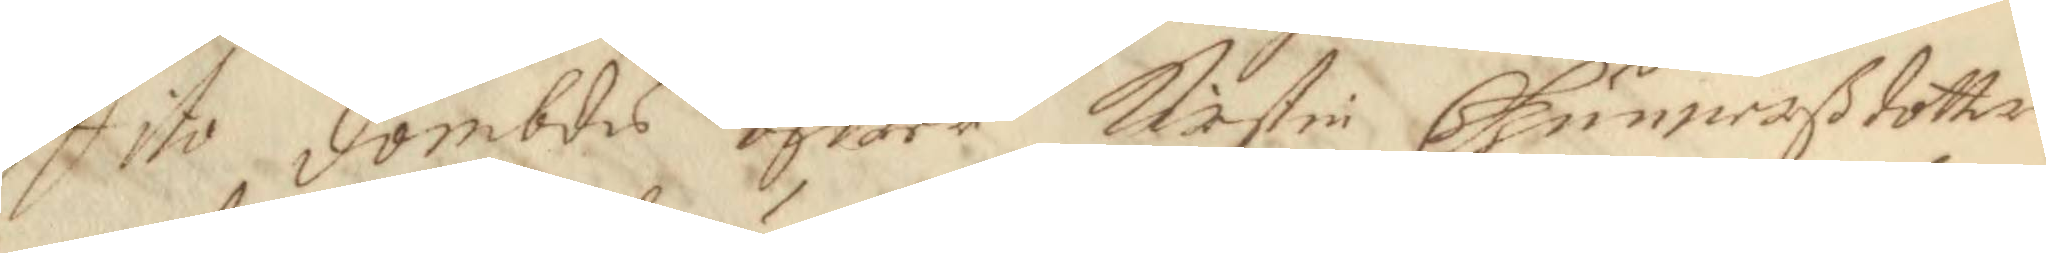Dito dömbdes öfwer Kirstin Gunnarßdotter
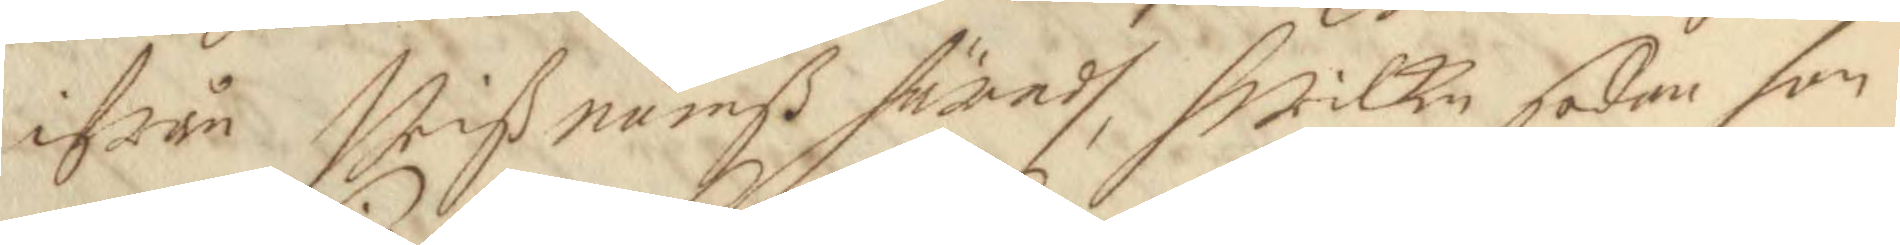ifrån Wrißnumß häradh, hwilken sedan hon
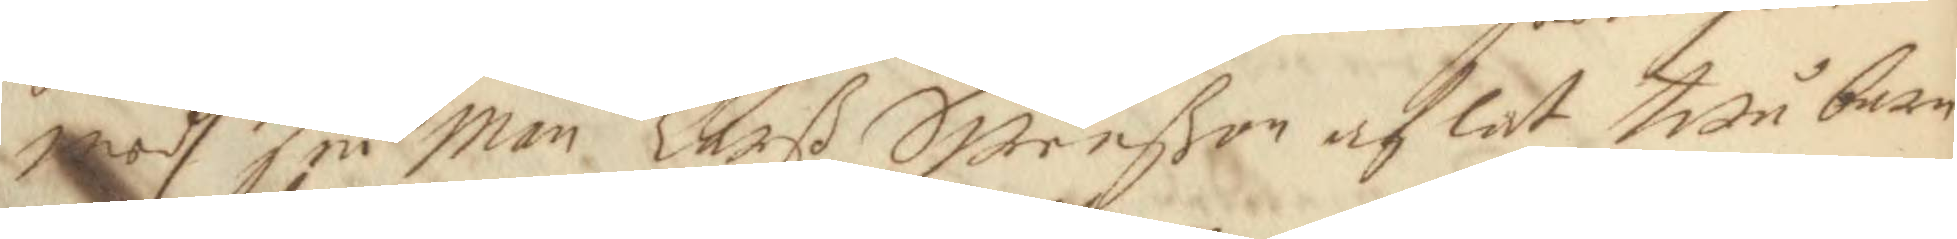medh sin Man Larß Swenßon aflat twå barn
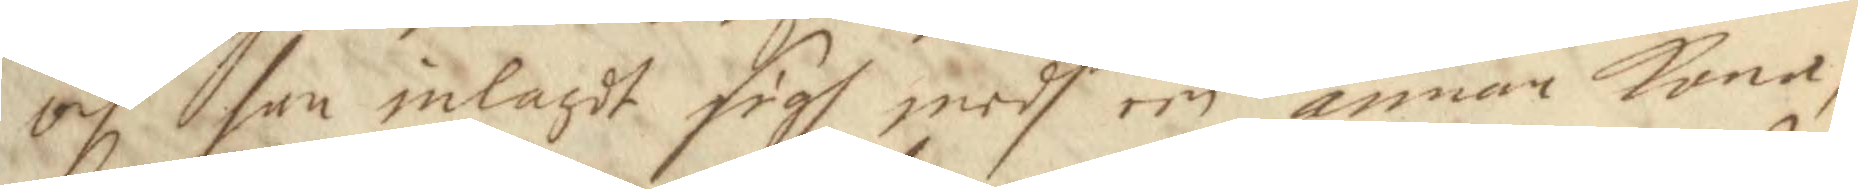och sen inlagdt sigh medh een annan Kona,
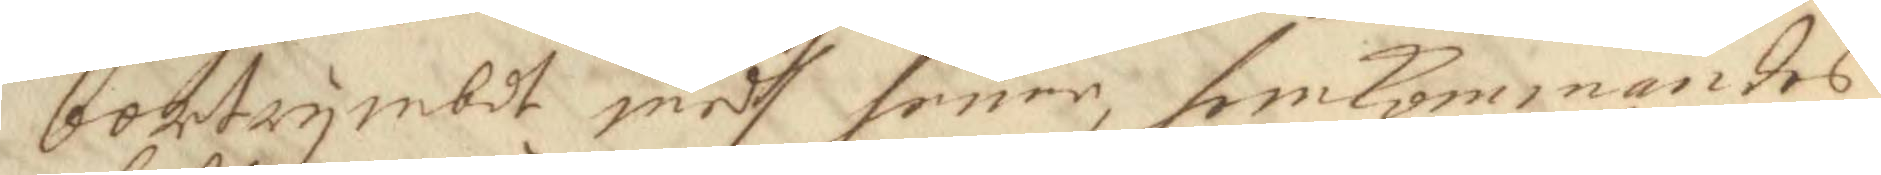bortrymbdt medh henne, hemkommandes
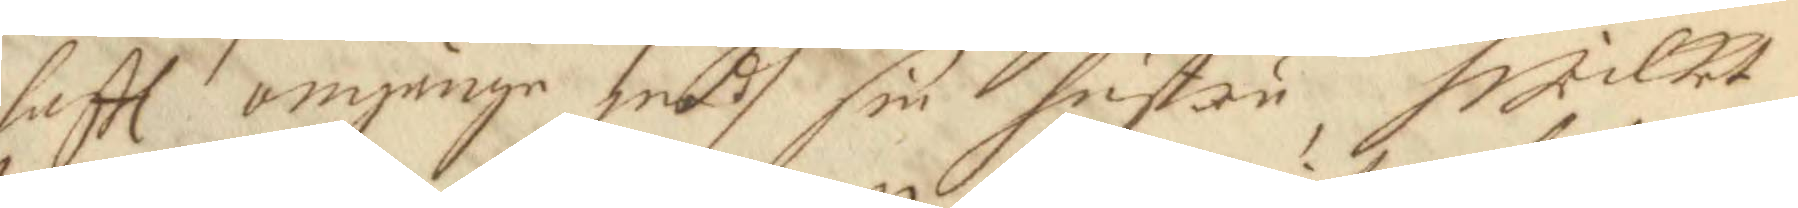haftt omgänge medh sin hustru, hwilket
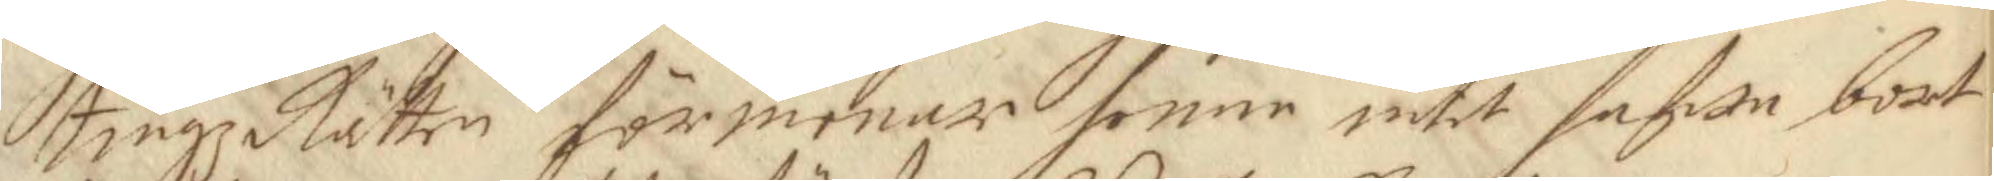tingz Rätten förmenar henne intet hafwa bort
